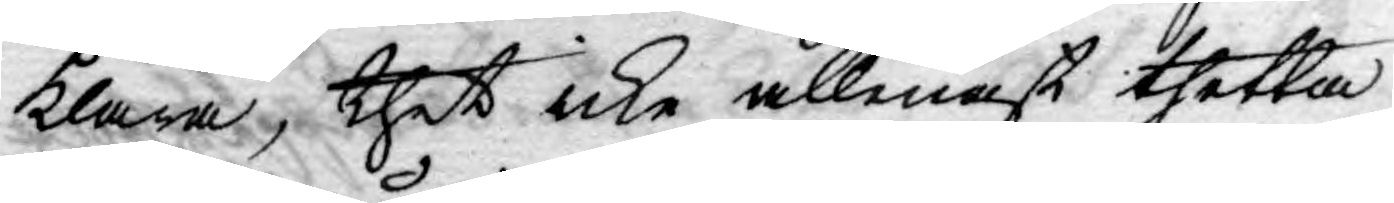klara, thet icke allenast thetta
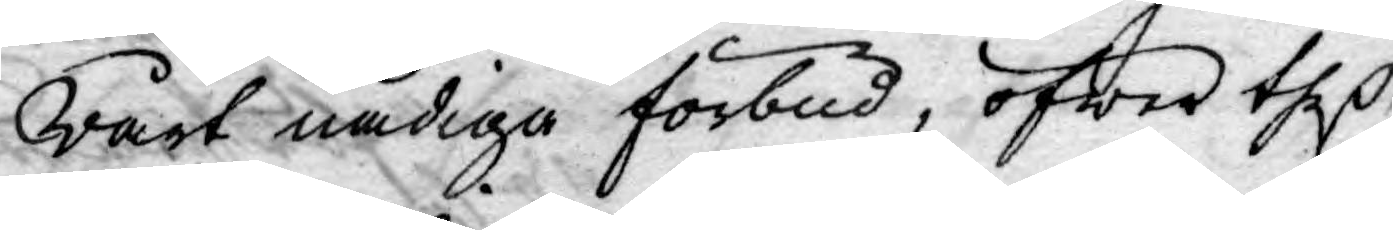wårt nådiga förbud, öfwer theß
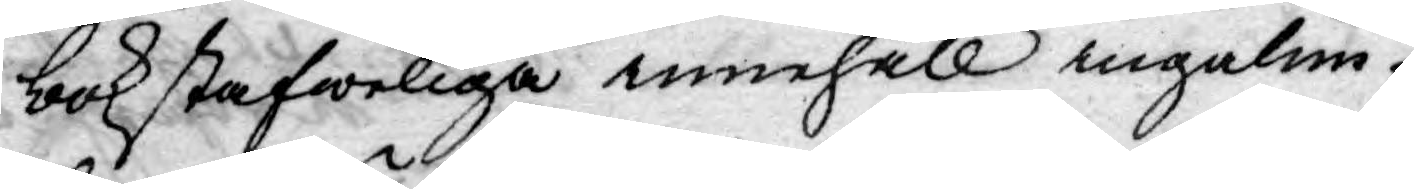bokstafweliga innehåll ingalun¬
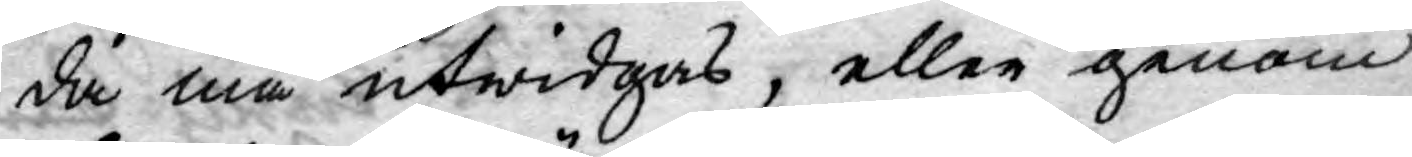da må utwidgas, eller genom
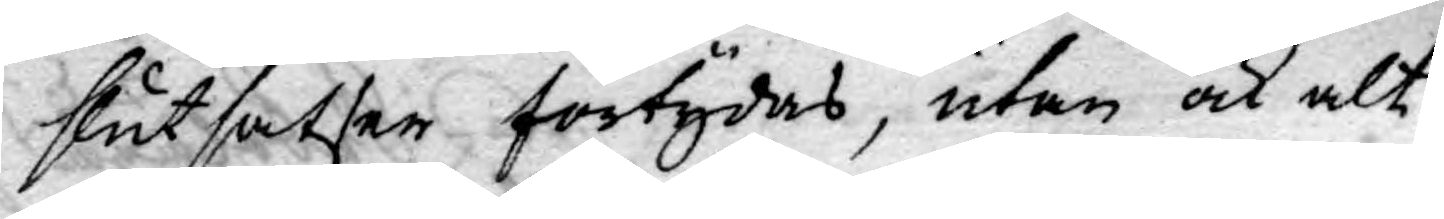slutsatser förtydas, utan ock alt
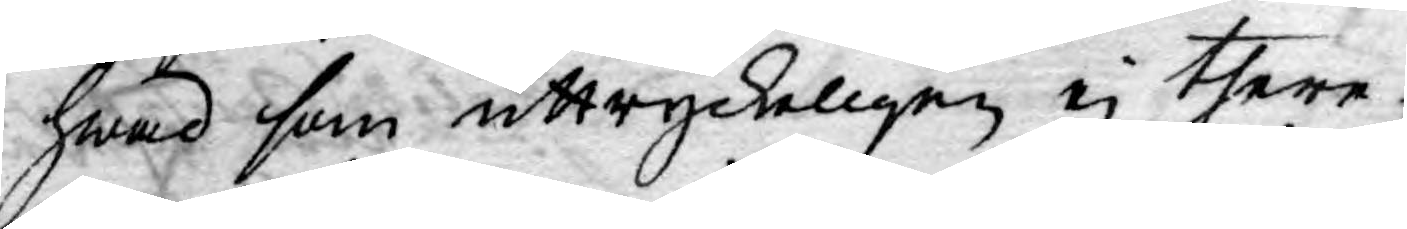hwad som uttryckeligen ej there¬
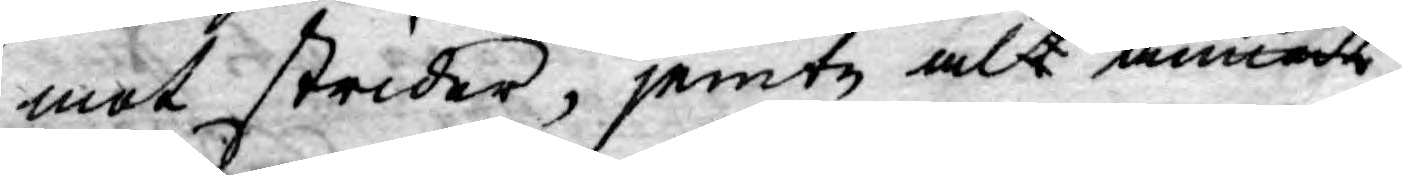mot strider, jemte alla annandra
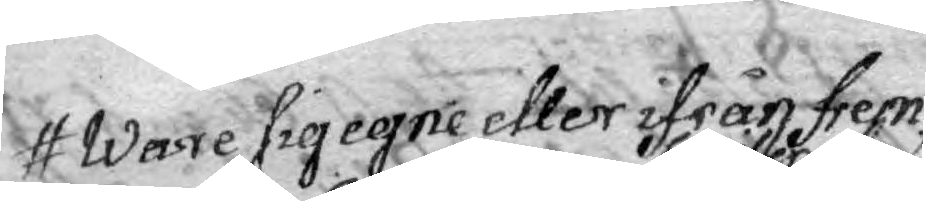Ware sig egne eller ifrån frem¬
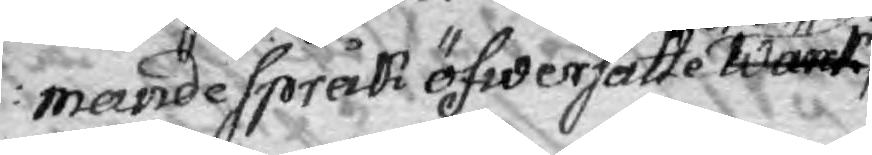mande språk öfwersatte Warit
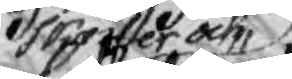skrifter och
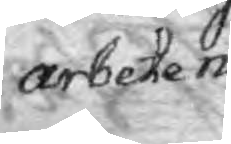arbeten
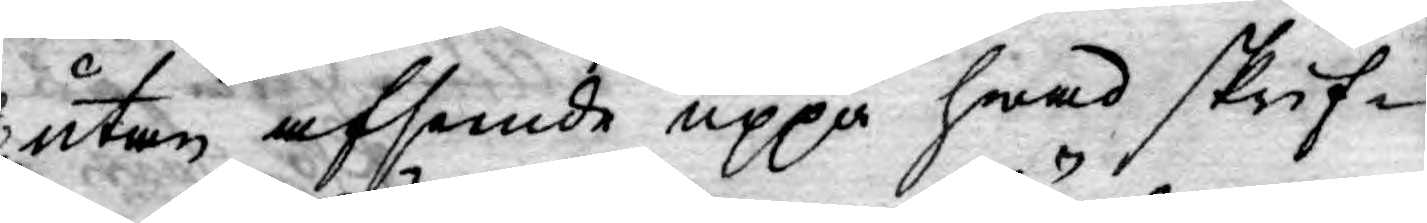utan afsende uppå hwad skrif¬
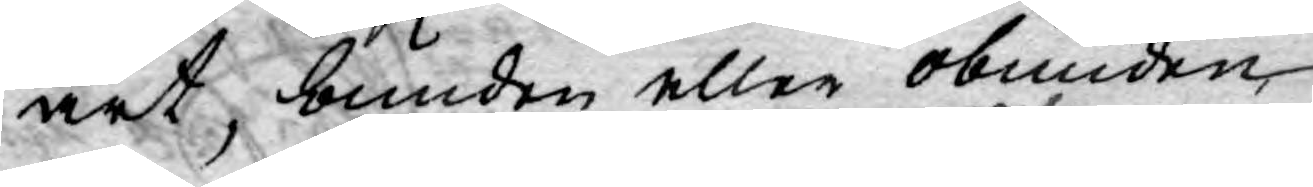art, bunden eller obunden,
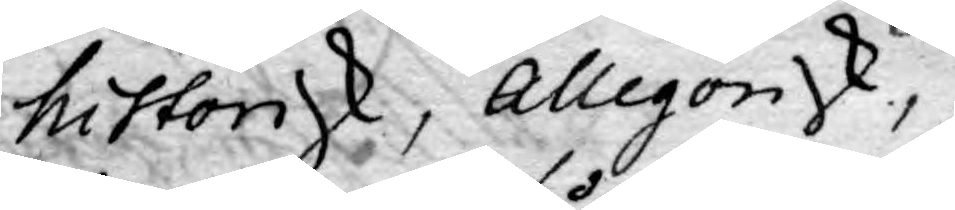historisk, Allegorisk,
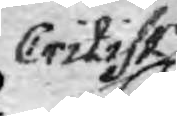Critisk,
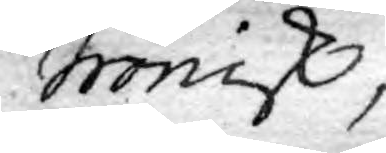Ironisk,
